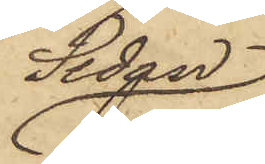Sedan
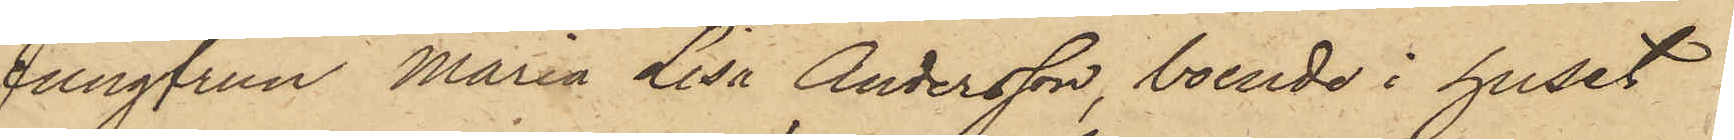Jungfrun Maria Lisa Andersson, boende i huset
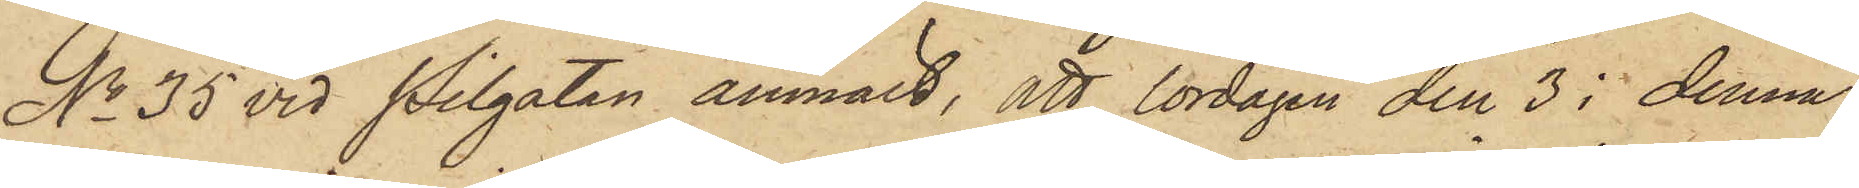No 35 vid Pilgatan anmält, att lördagen den 3 i denna
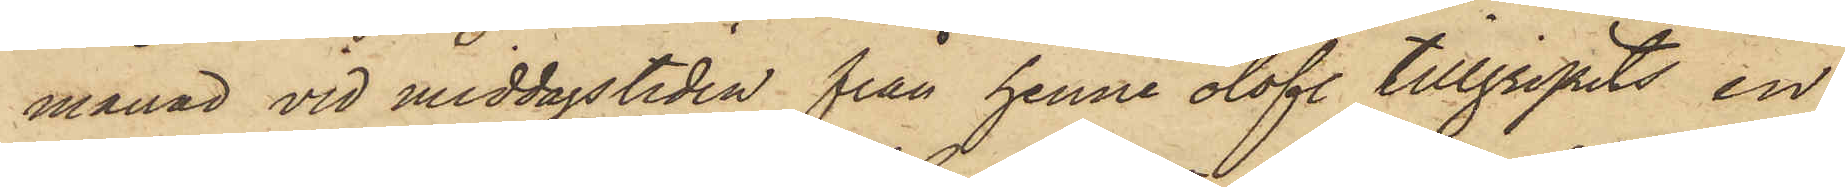månad vid middagstiden från henne olofl. tillgripits en
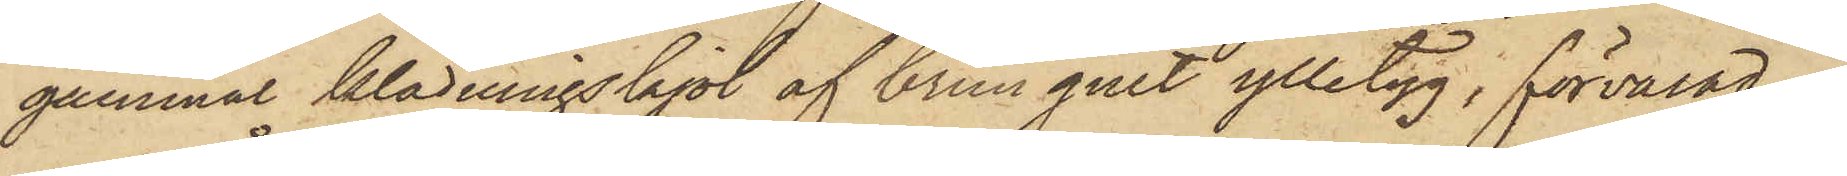gammal klädningskjol af brungult ylletyg, förvarad i
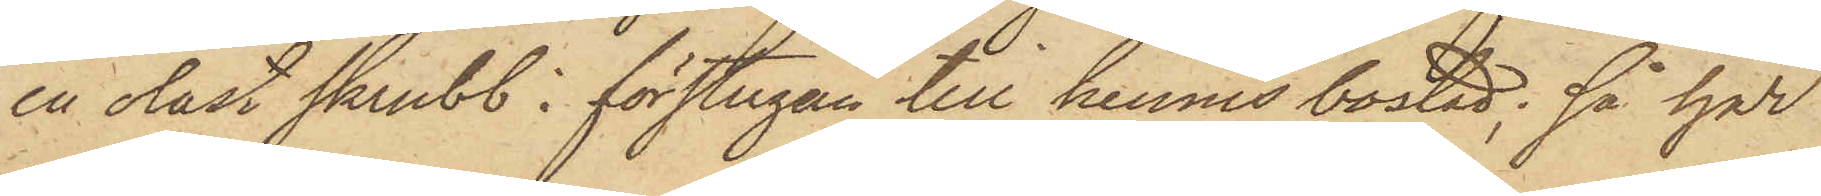en olåst skrubb i förstugan till hennes bostad; så har
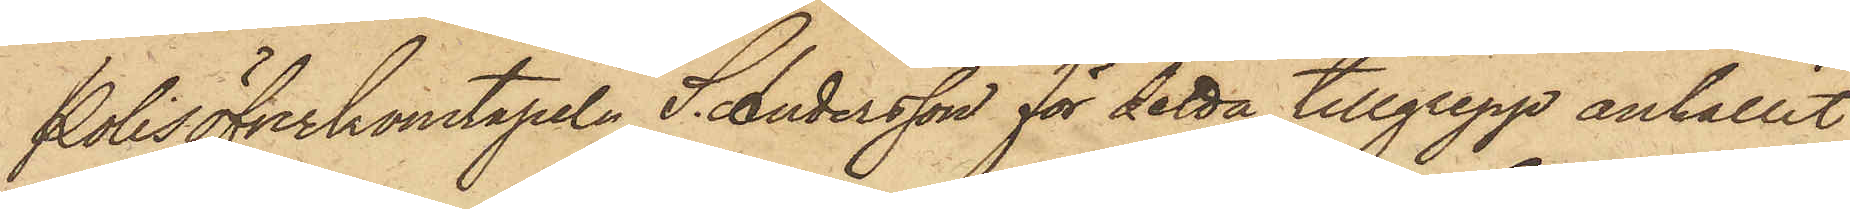Polisöfverkonstapeln S. Andersson för detta tillgrepp anhållit
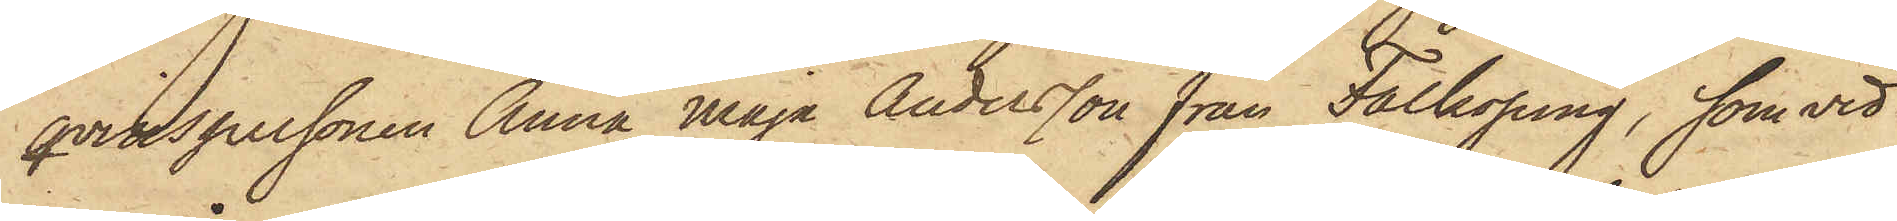qvinspersonen Anna Maja Andersson från Falköping, som vid
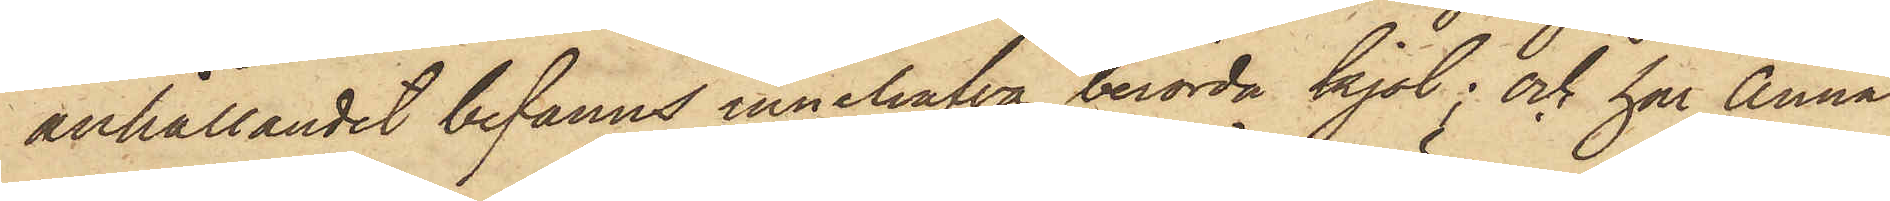anhållandet befanns innehafva berörda kjol; och har Anna
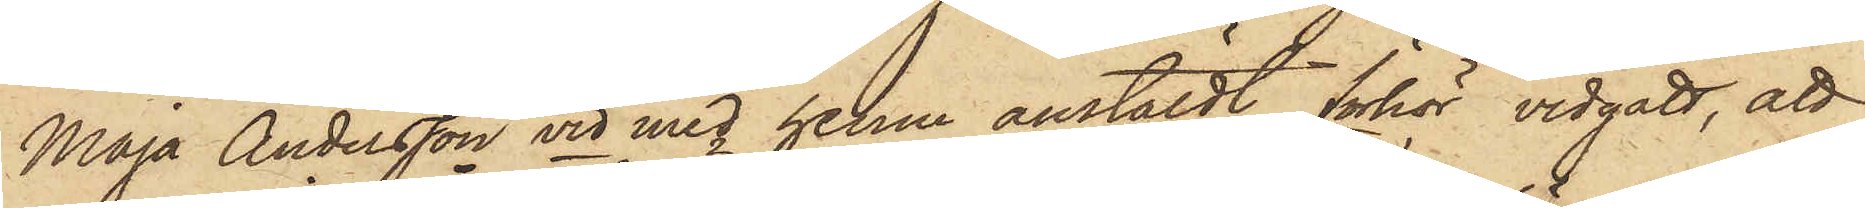Maja Andersson vid med henm anstäldt förhör vidgått, att
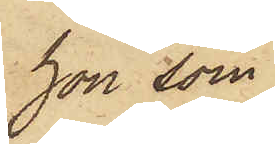hon som
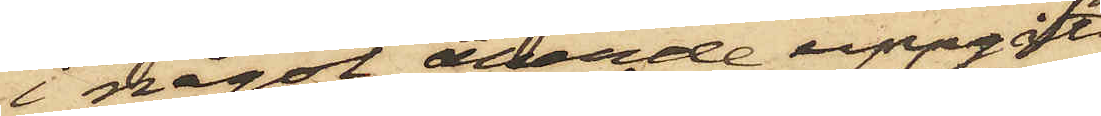i något ärende uppgått
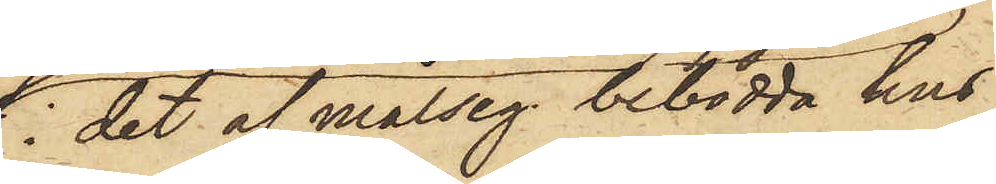i det af målseg. bebodda hus
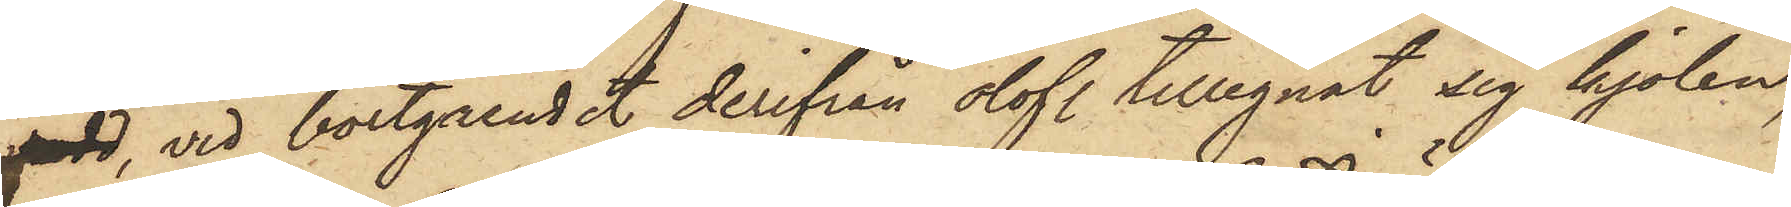vadd, vid bortgåendet derifrån olofl. tillegnat sig kjolen,
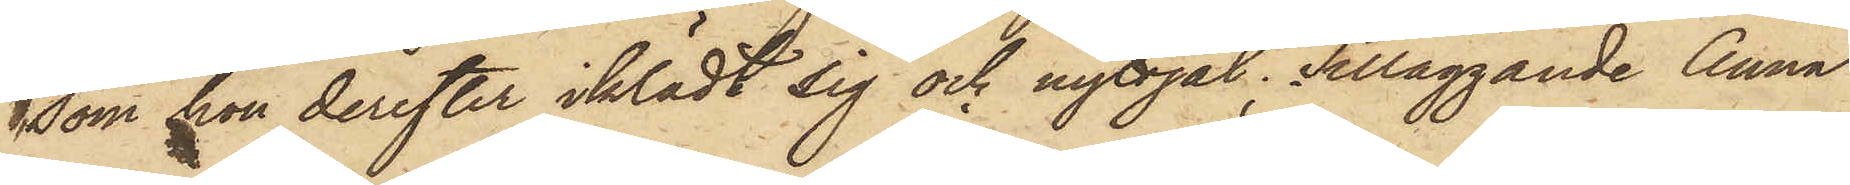som hon derefter iklädt sig och nyttjat; Tilläggande Anna
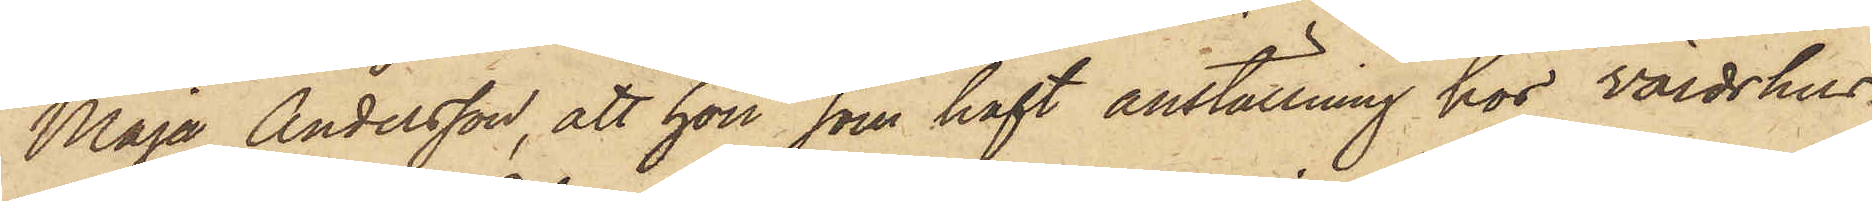Maja Andersson, att hon som haft anställning hos Värdshus¬
